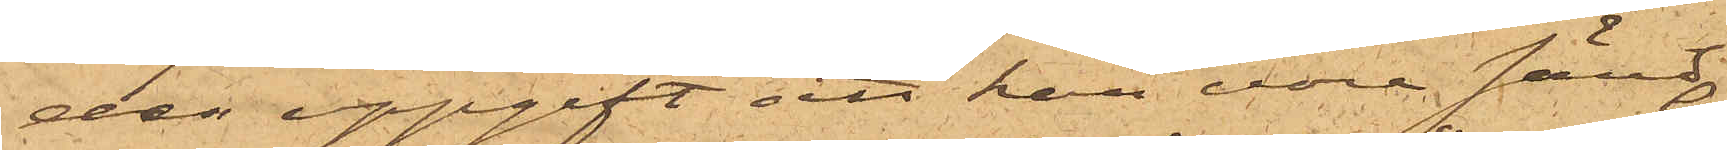der uppgift att han vore sänd
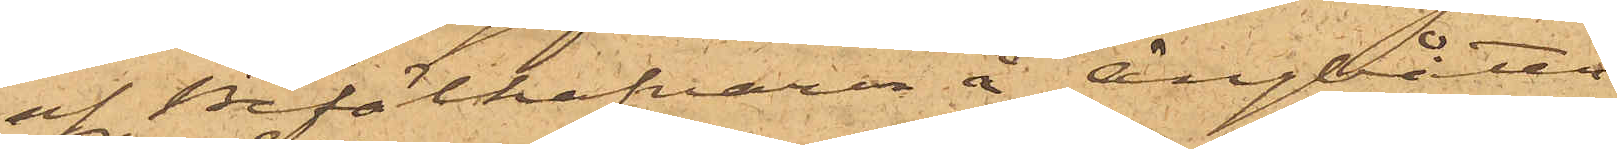af Befälhafvaren å Ångbåten
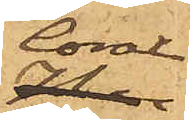Coral
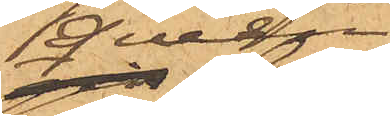Queen
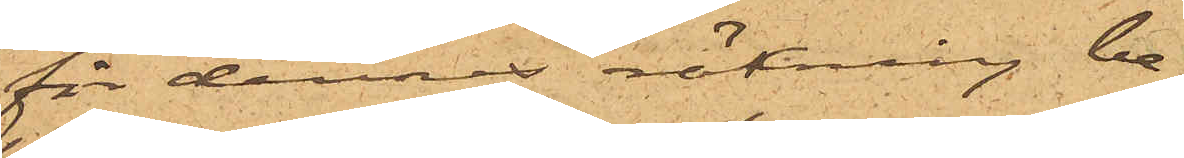för dennes räkning be¬
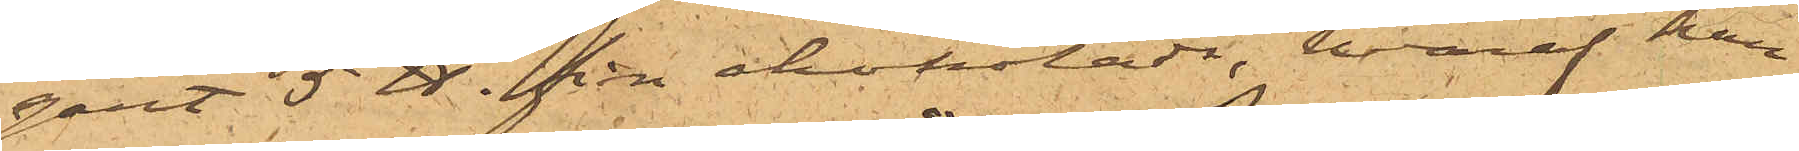gärt 5 ℔. fin chokolade, hvaraf han
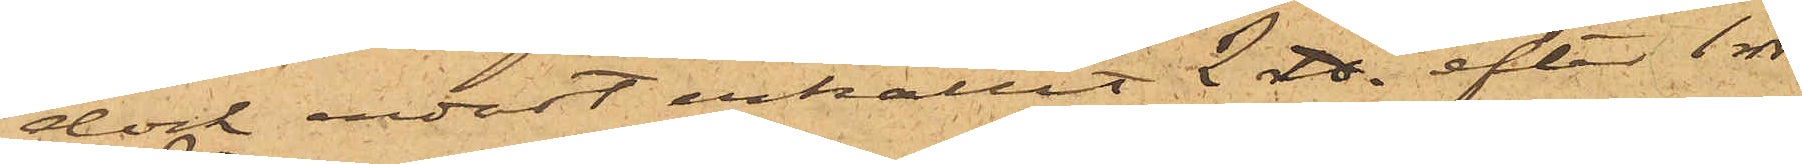dock endast erhållit 2 ℔ efter 1 rdr
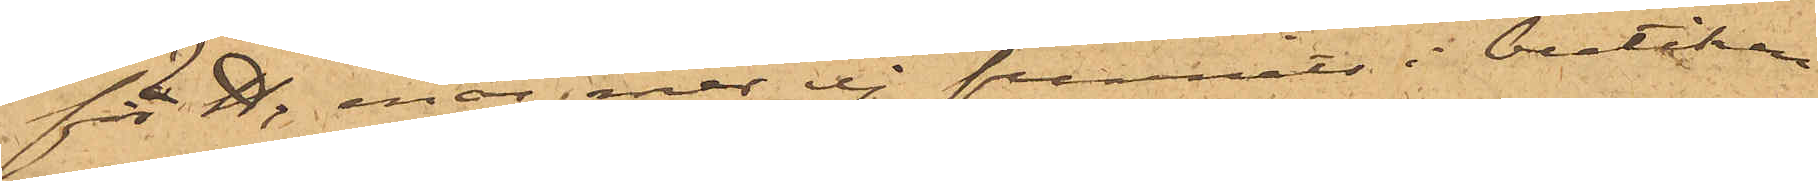för ℔, enär mer ej funnits i boutiken
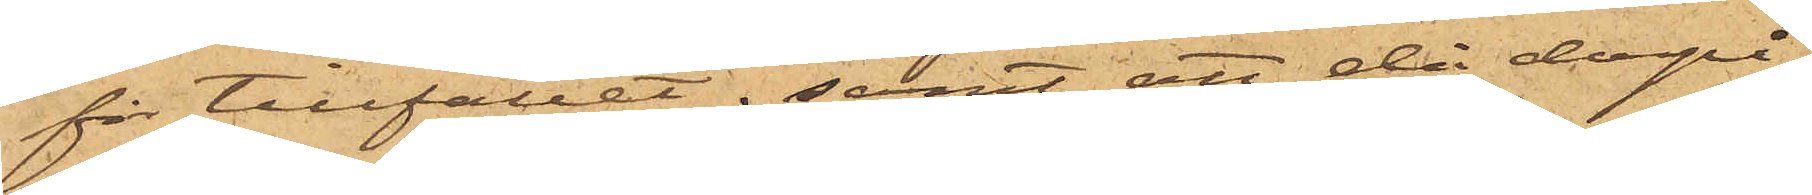för tillfället; samt att då derpå¬
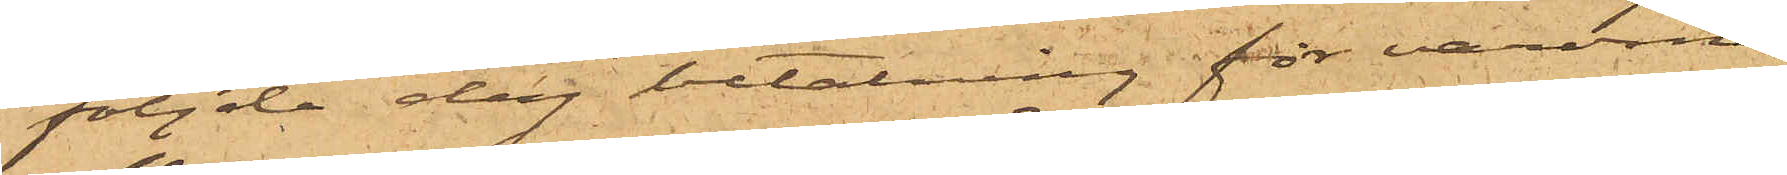följde dag betalning för varorna
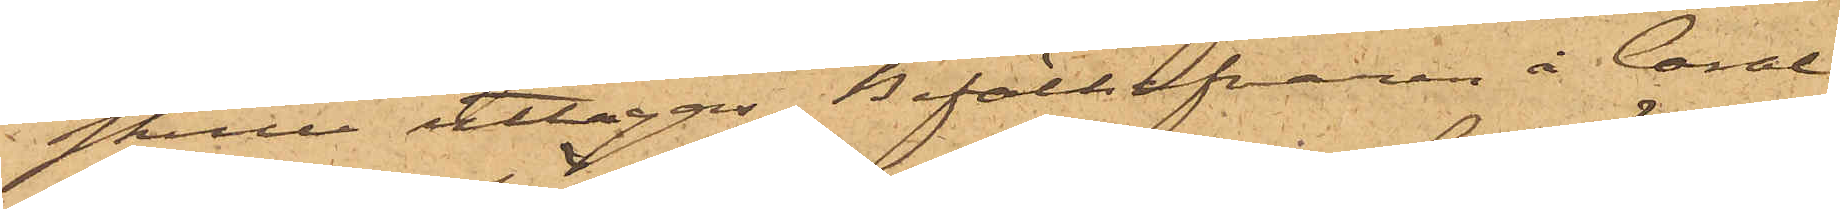skulle uttagas, Befälhafvaren å Coral
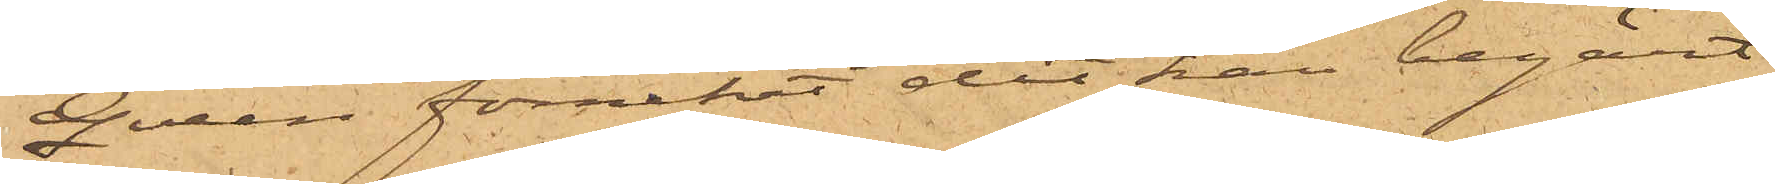Queen förnekat det han begärt
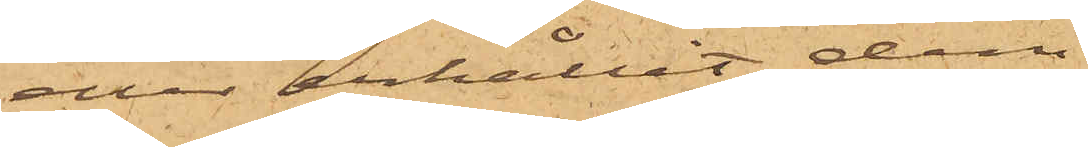eller erhållit dem.
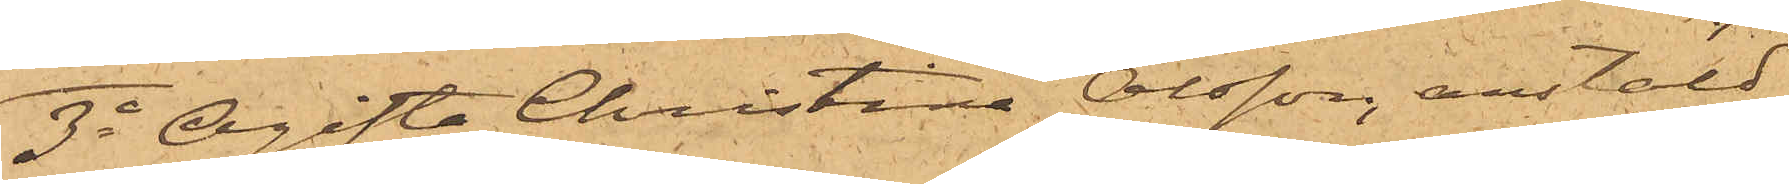3o Ogifta Christina Olsson, anstäld
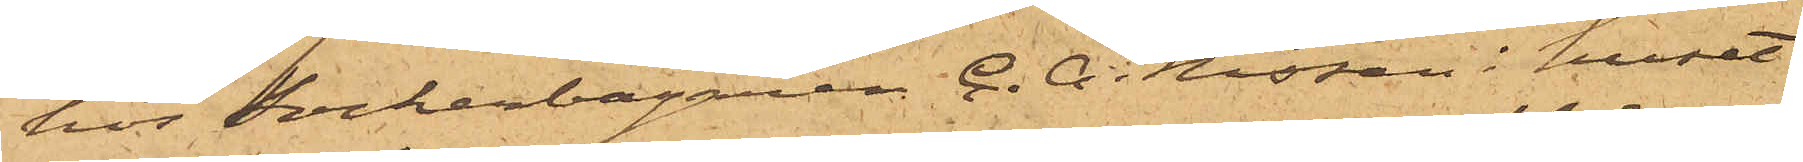hos Sockerbagaren C. A. Nissen i huset
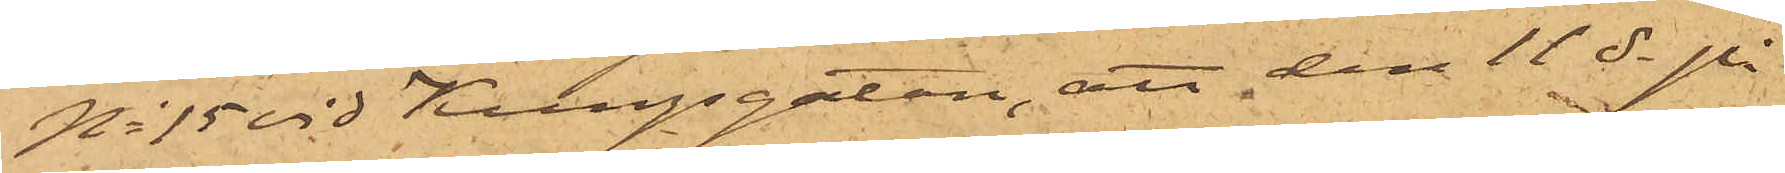No 15 vid Kungsgatan, att den 11 ds på
